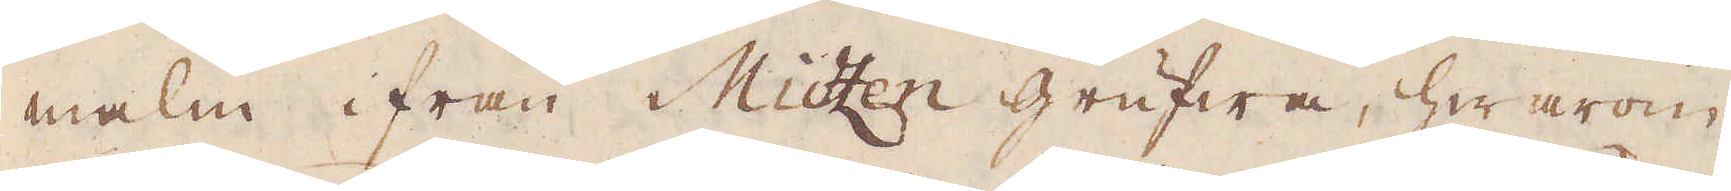malm ifrån Mitzen grufwa, hwarom
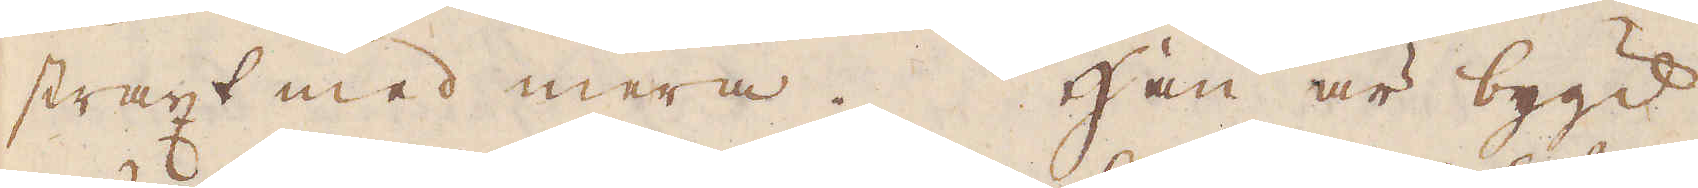straxt med mera. Han är bygd
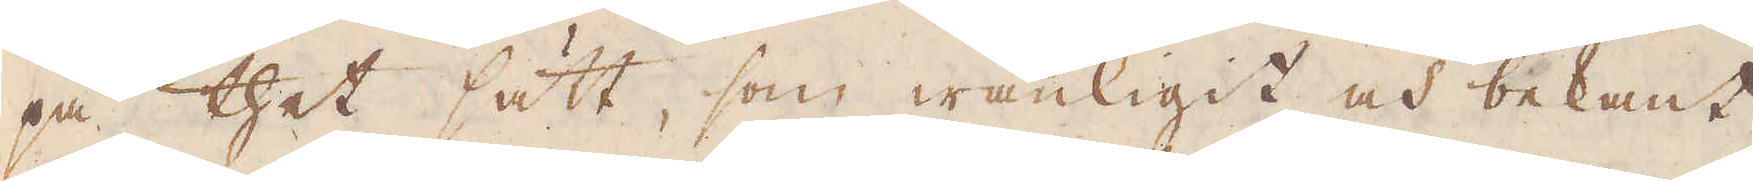på thet sätt, som wanligit och bekant
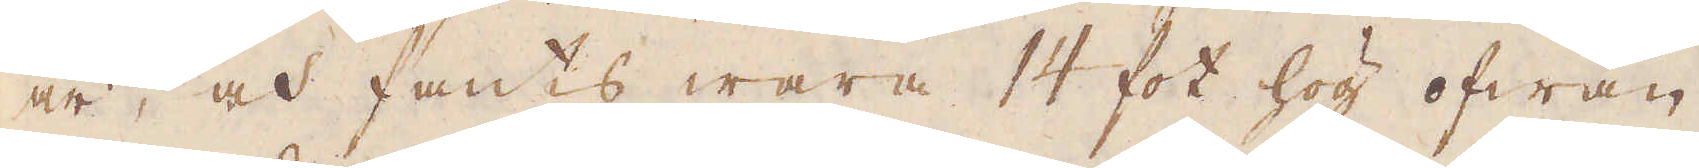är, och fants wara 14 fot hög ofwan
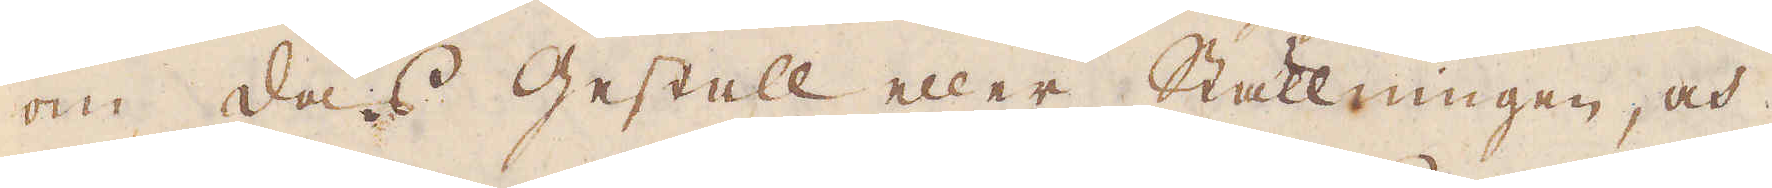om das Gestell eller Ställningen, och
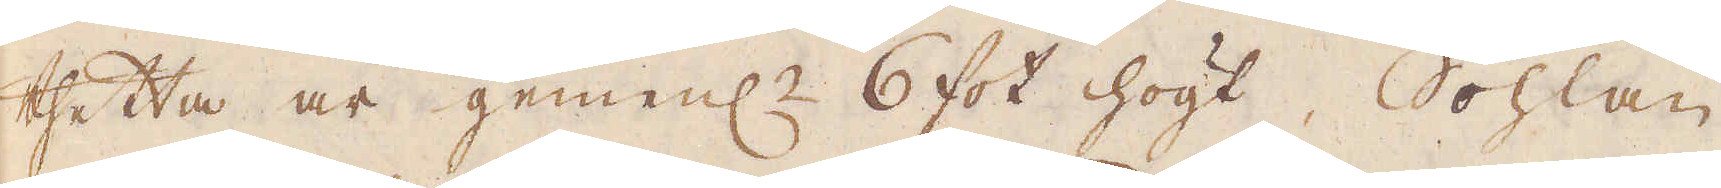thetta är gemenl:n 6 fot högt. Sohlan
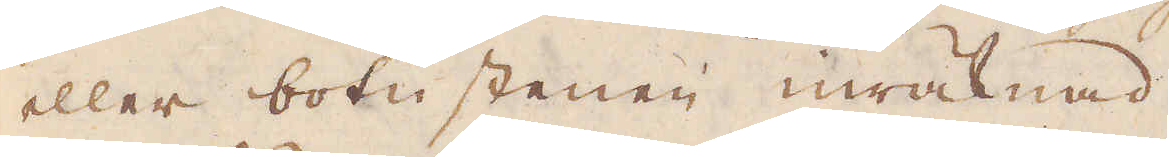eller botnstenen inräknad.
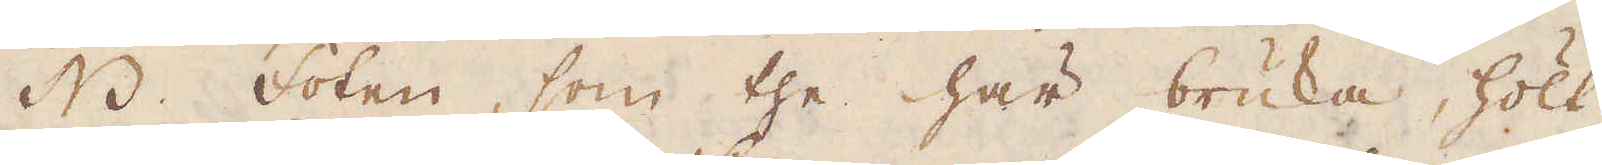NB. Foten, som the här bruka, hölt
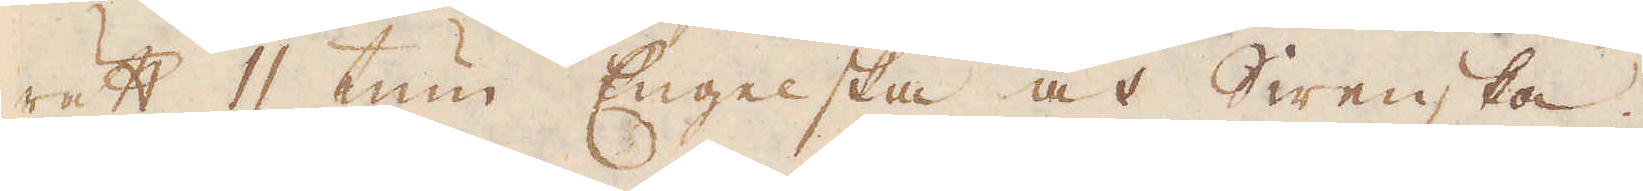rätt 11 tum Engelska och Swenska.
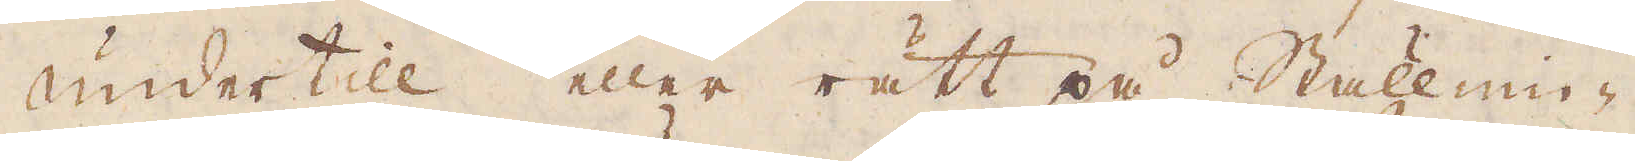undertill eller rätt på Ställnin-
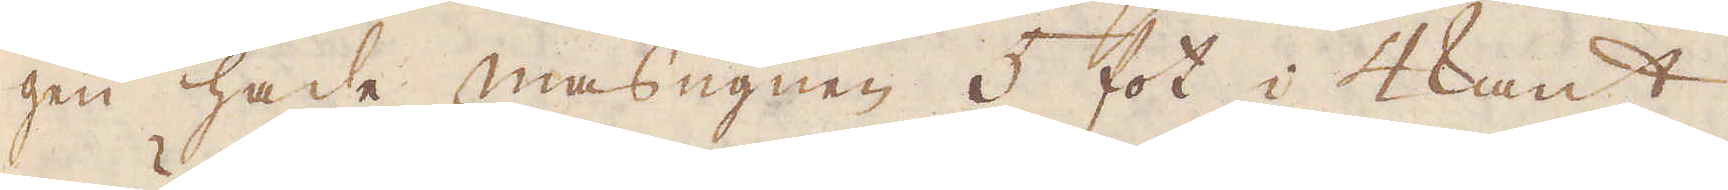gen hade masugnen 5 fot i 4kant.
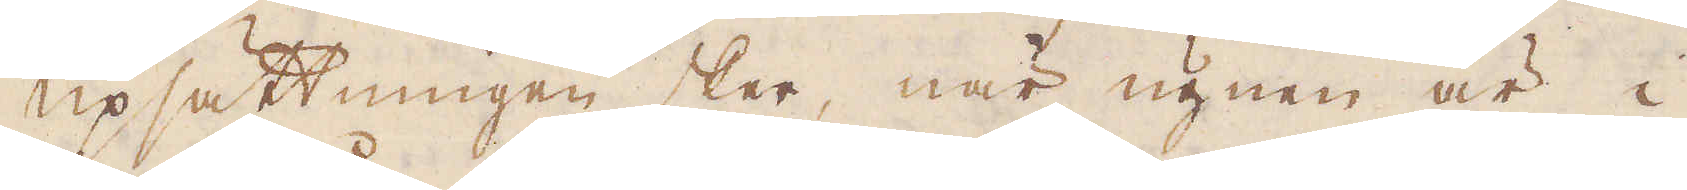Upsättningen sker, när ugnen är i
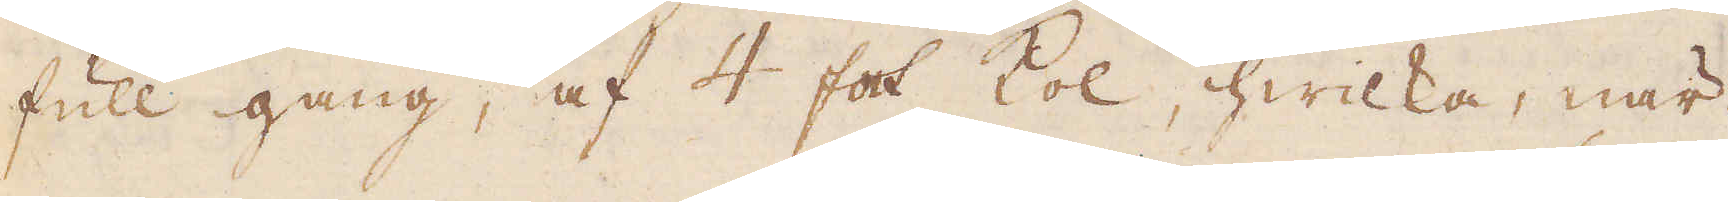full gång, af 4 fot kol, hwilka, när
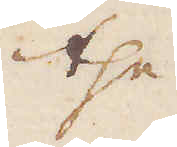the
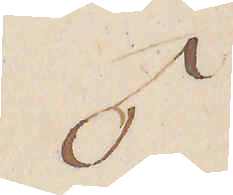♂
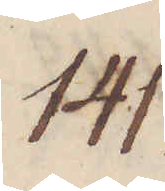141.
